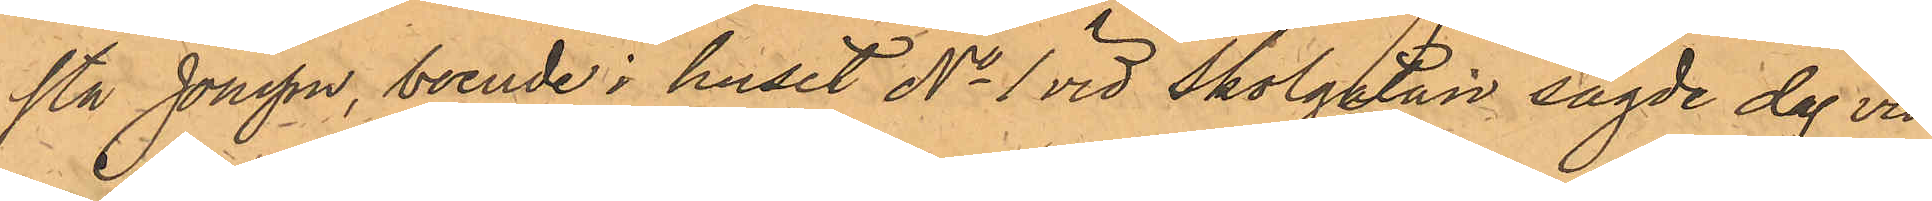sta Jonsson, boende i huset No 1 vid Skolgatan sagde dag vid
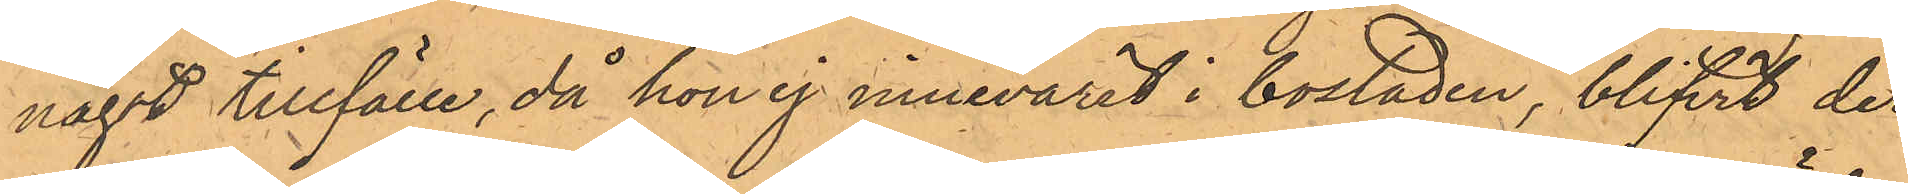något tillfälle, då hon ej innevarit i bostaden, blifvit der
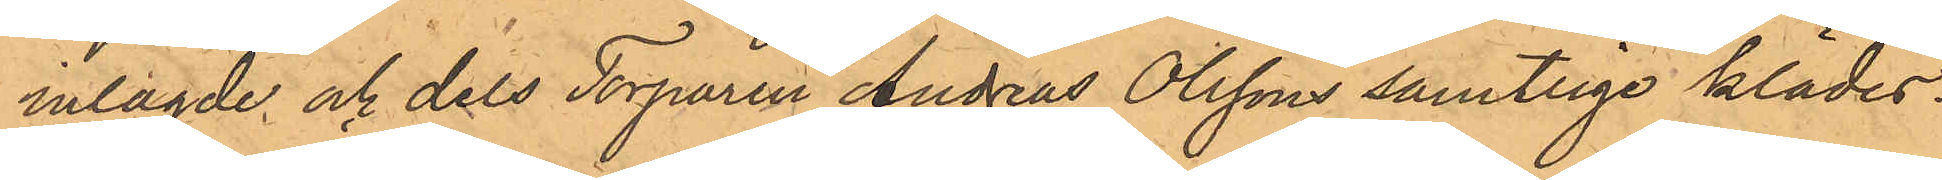inlagde och dels Torparen Andreas Olssons samtlige klädes¬
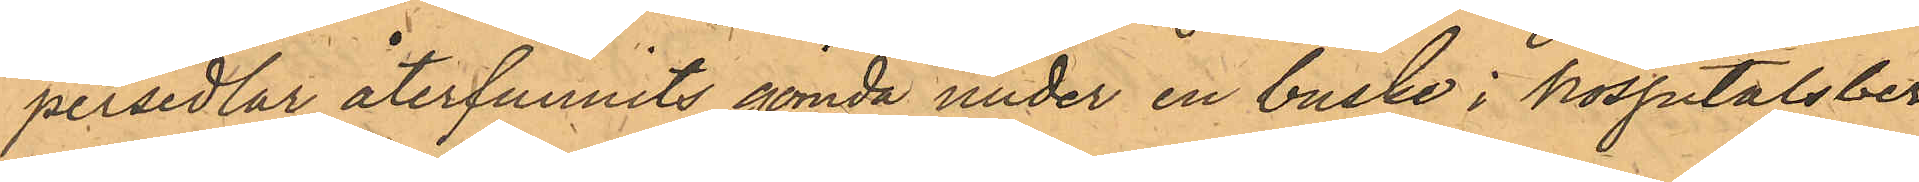persedlar återfunnits gömda under en buske i hospitalsber¬
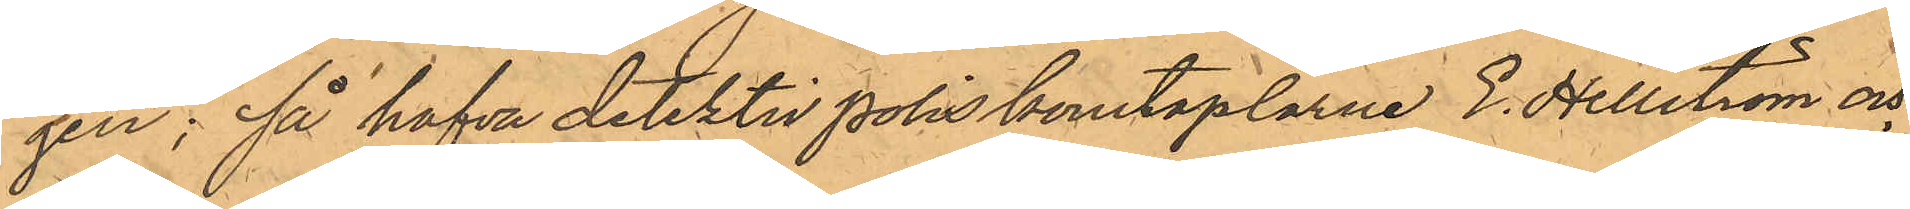gen; så hafva detektivpoliskonstaplarne E. Hellström och
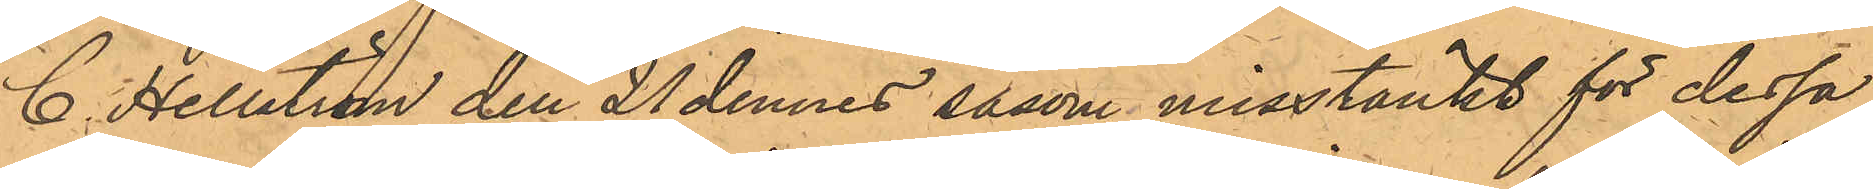C. Hellström den 21 dennes såsom misstänkt för dessa
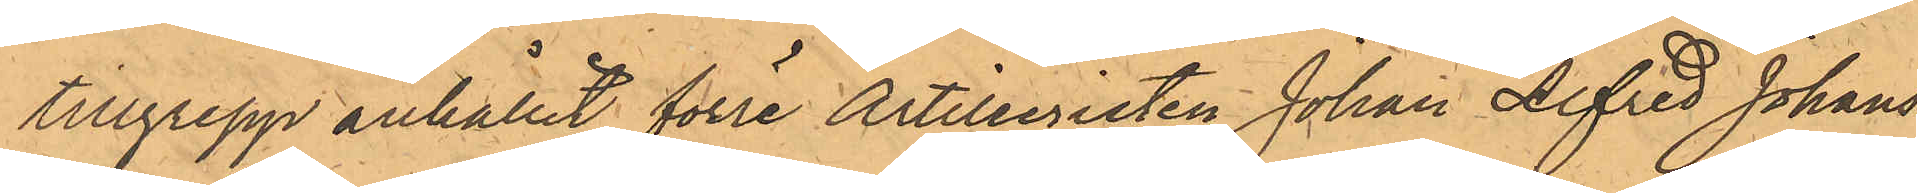tillgrepp anhållit förre Artilleristen Johan Alfred Johans¬
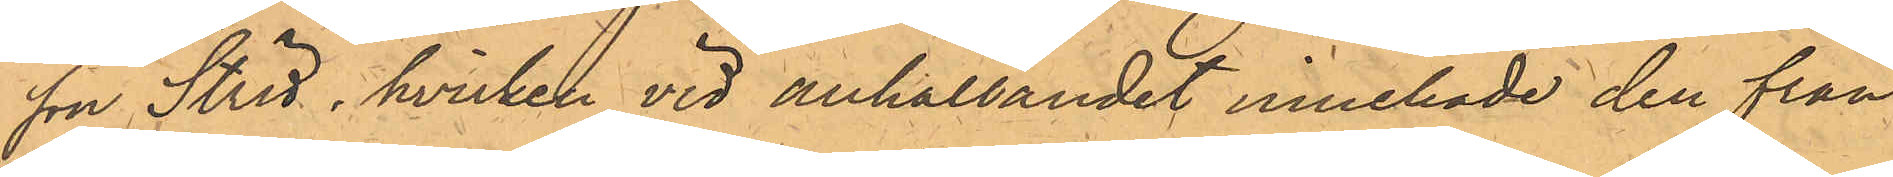son Strid, hvilken vid anhållandet innehade den från
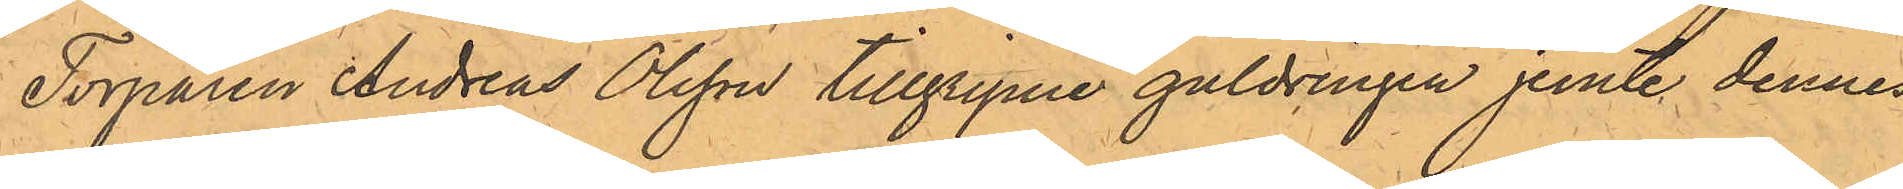Torparen Andreas Olsson tillgripne guldringen jemte dennes
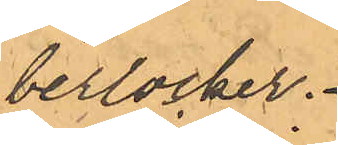berlocker.
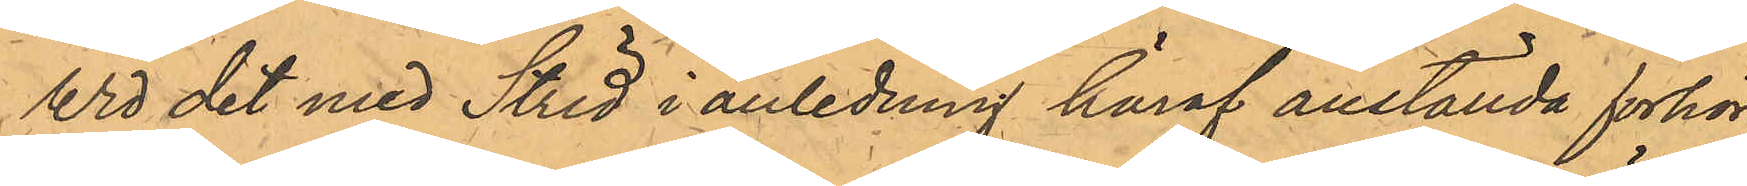Wid det med Strid i anledning häraf anställda förhör
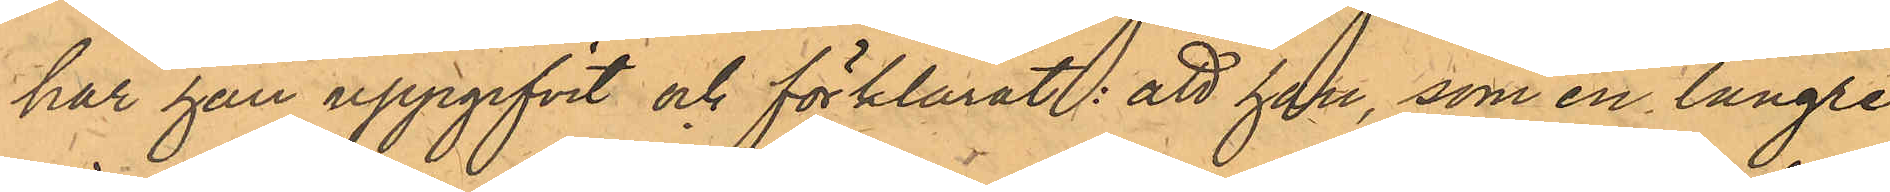har han uppgifvit och förklarat: att han, som en längre
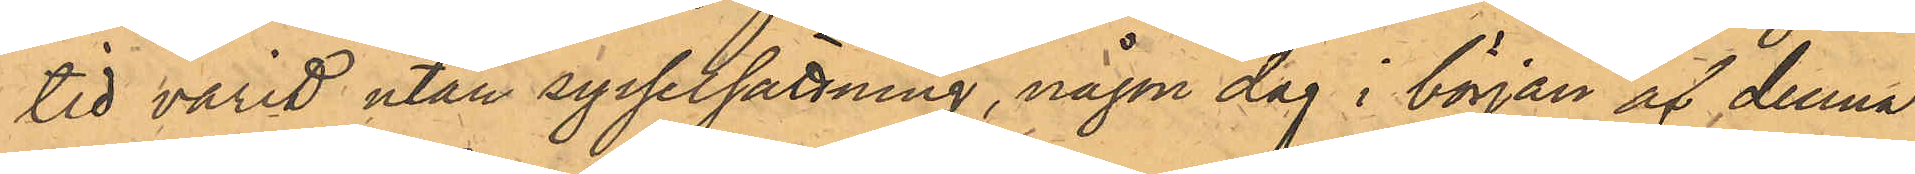tid varit utan sysselsättning, någon dag i början af denna
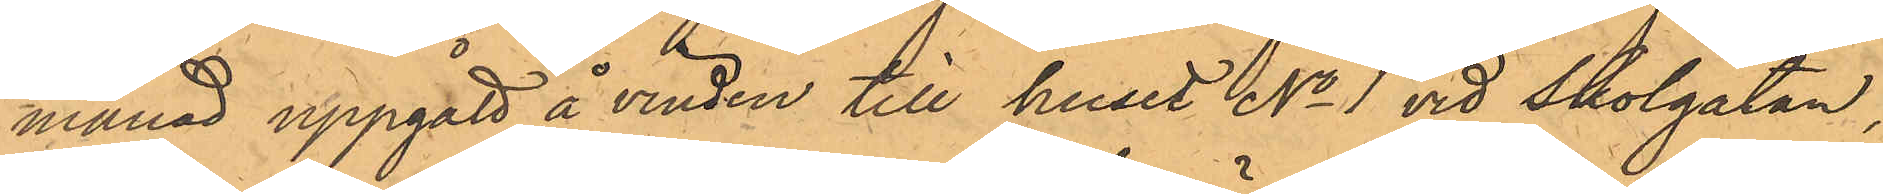månad uppgått å vinden till huset No 1 vid Skolgatan;
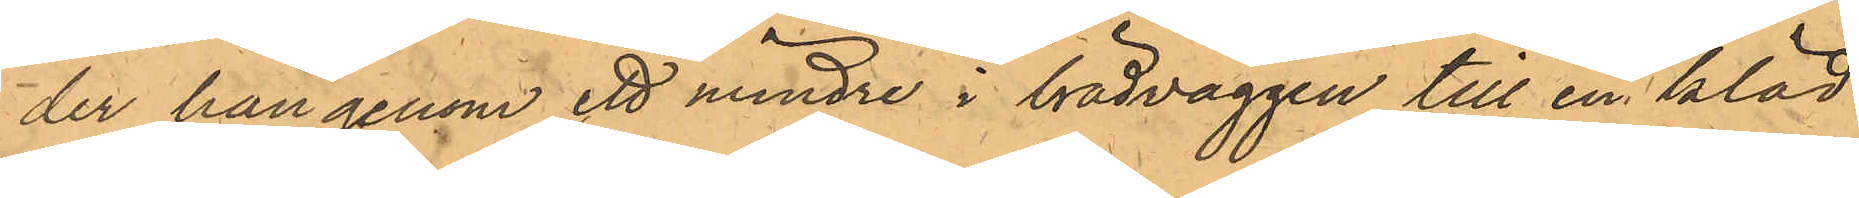der han genom ett mindre i brädväggen till en kläd¬
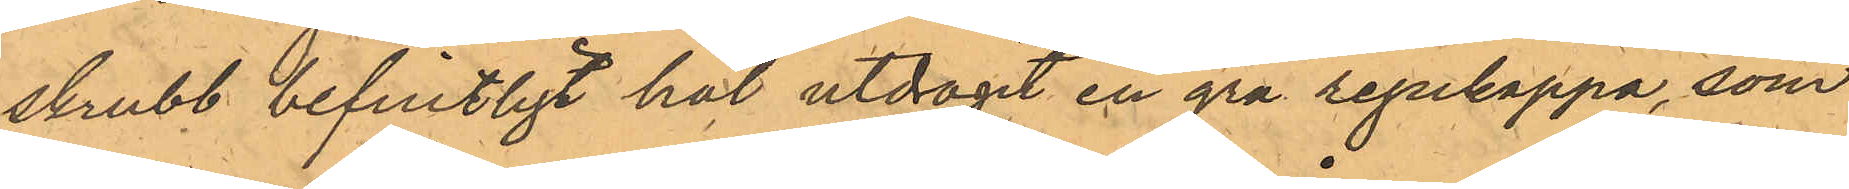skrubb befintligt hål utdragit en grå regnkappa, som
